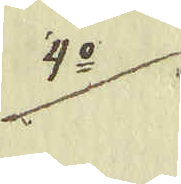4:o.
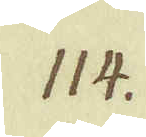114.
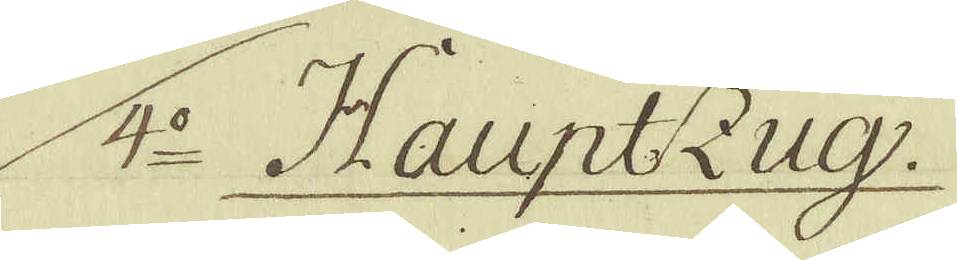4:o Hauptzug.
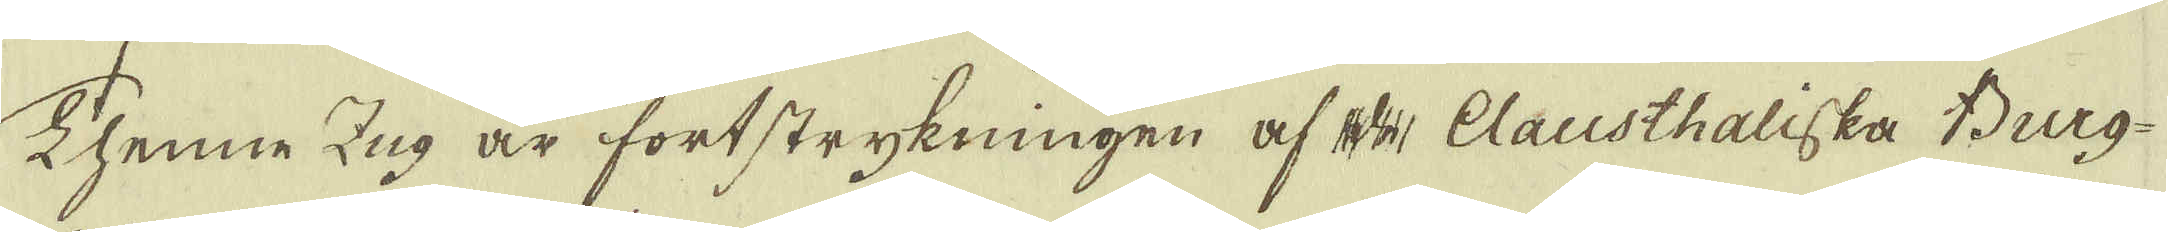Thenne Zug är fortstrykningen af Clausthaliska Berg-
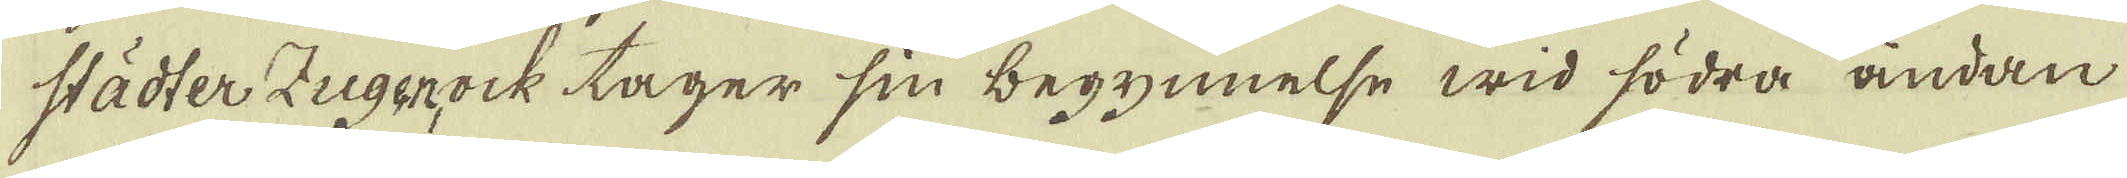städter Zugenock tager sin begynnelse wid södra ändan
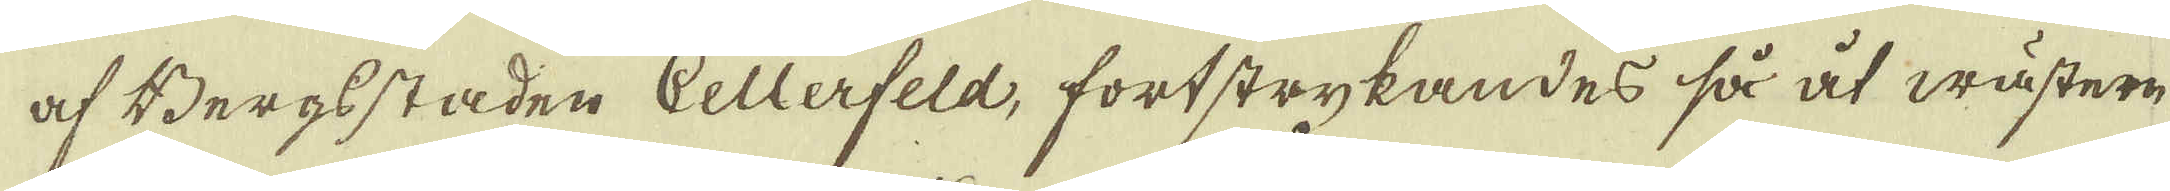af Bergsstaden Cellerfeld, fortstrykandes så at wästern
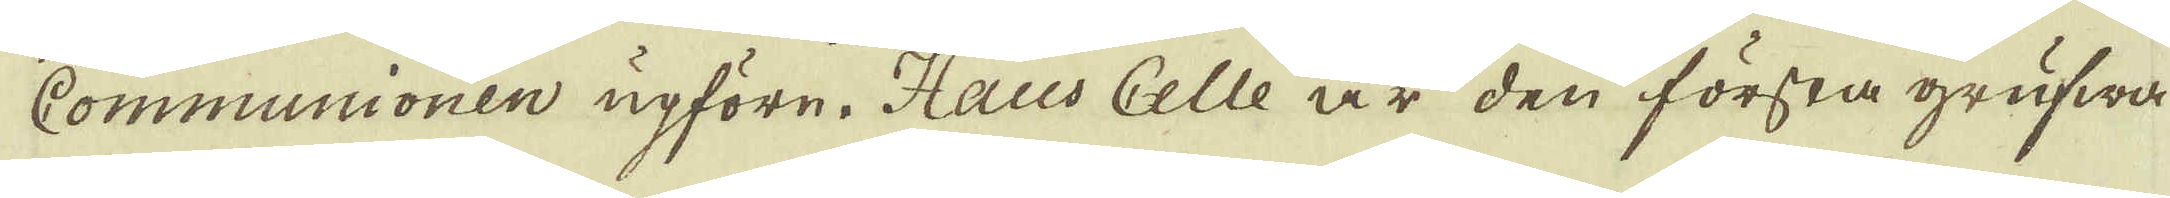Communionen upföre. Haus Celle är den första grufwa
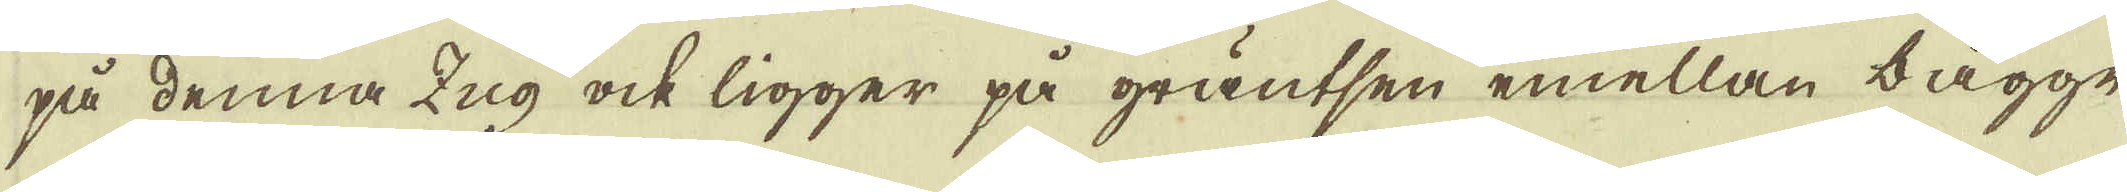på denna Zug ock ligger på gräntsen emellan bägge
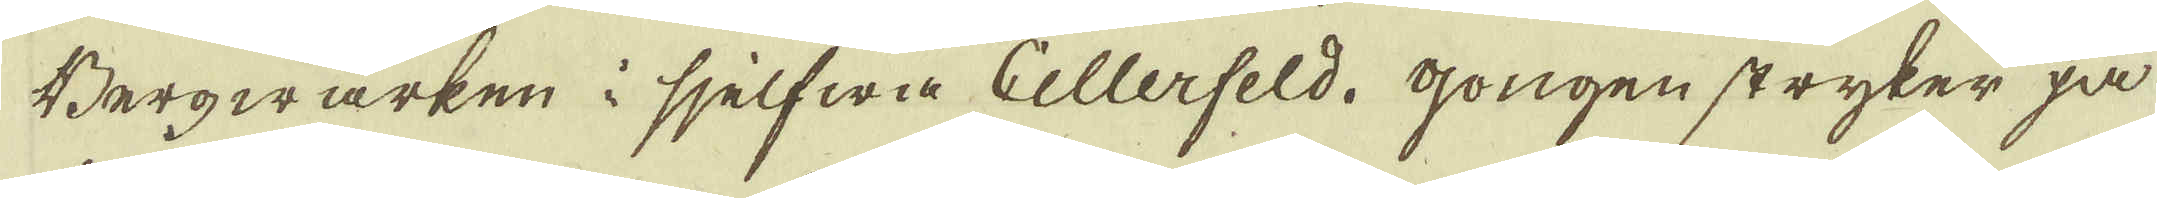Bergwärken i sjelfwa Cellerfeld. gongen stryker på
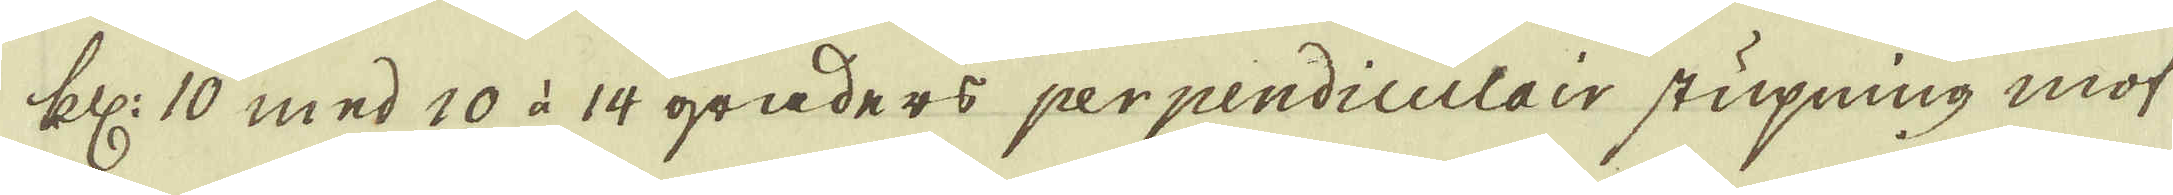kll: 10 med 10 à 14 graders perpendiculair stupning mot
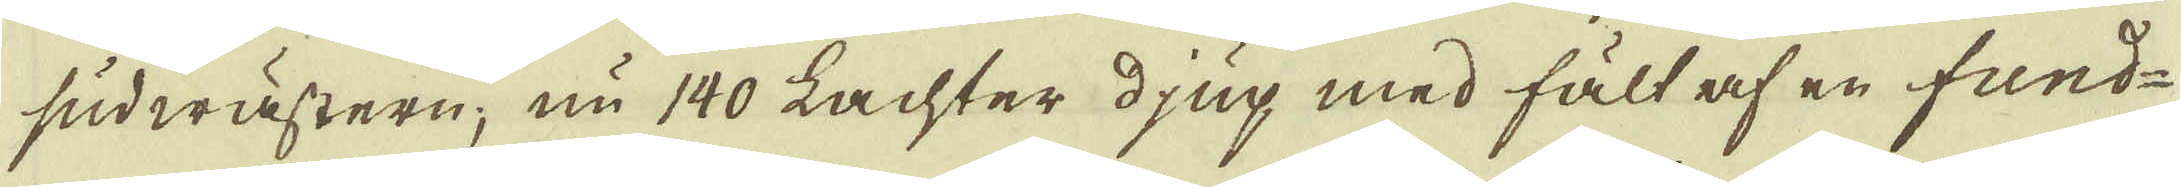sudwästern, nu 140 Lachter djup med fält af en fund-
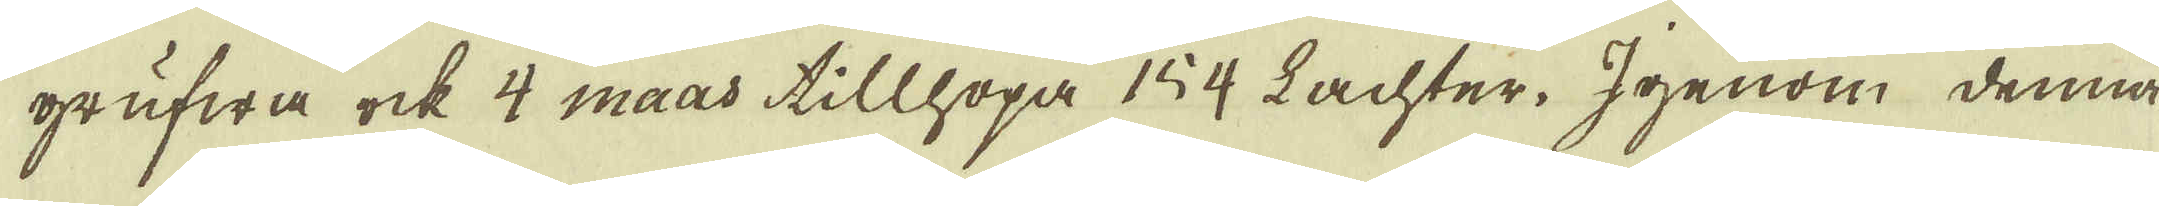grufwa ock 4 maas tillhopa 154 Lachter. Igenom denna
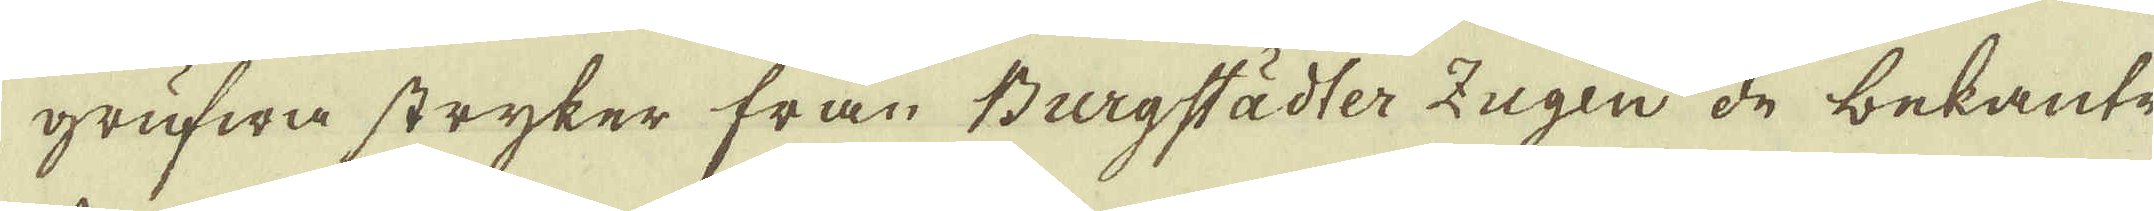grufwa stryker från Bergstädter Zugen de bekante
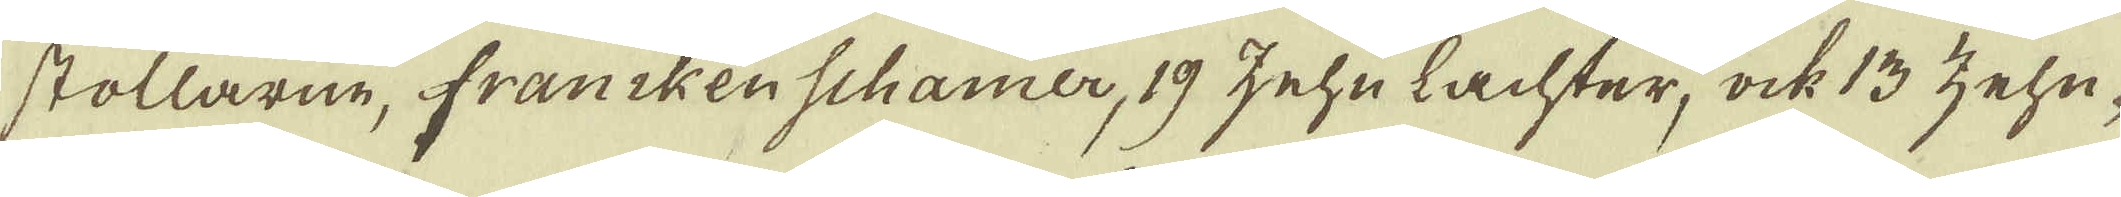stollarne, franckenschamer, 19 zehn lachter, ock 13 zehn-
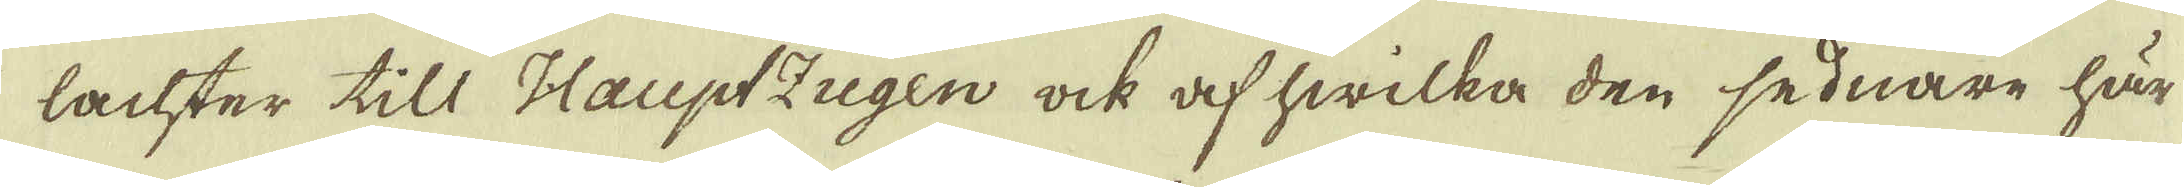lachter till Hauptzugen ock af hwilka den sednare här
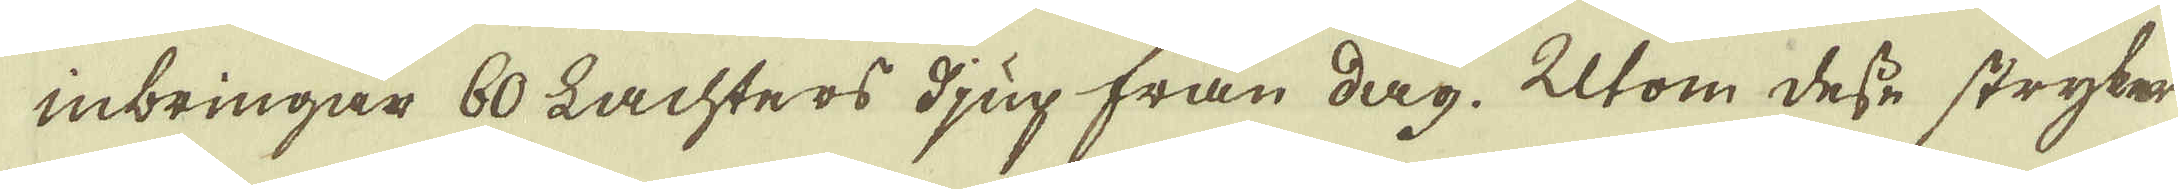inbringar 60 Lachters djup från dag. Utom desse stryker
